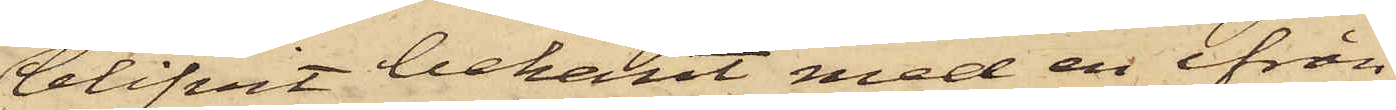blifvit bekant med en ifrån
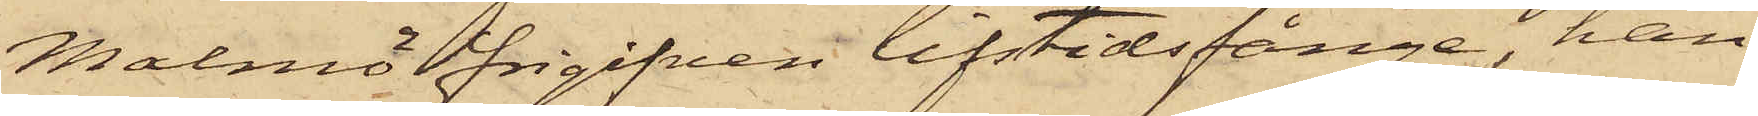Malmö frigifven lifstidsfånge, han
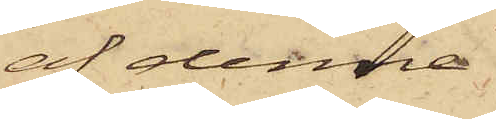af denna
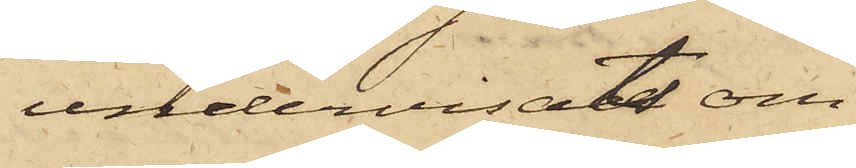undervisats om
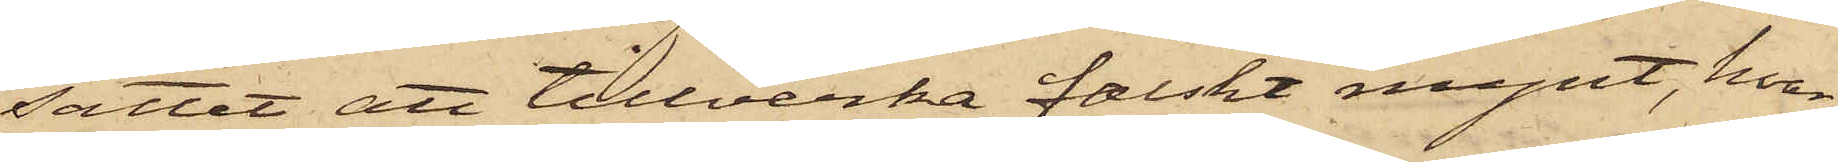sättet att tillverka falskt mynt, hvar¬
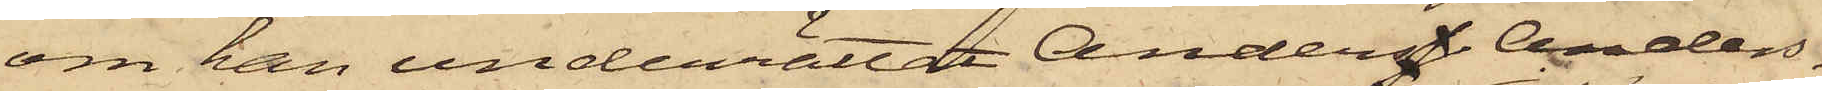om han underrättat Anders Anders¬
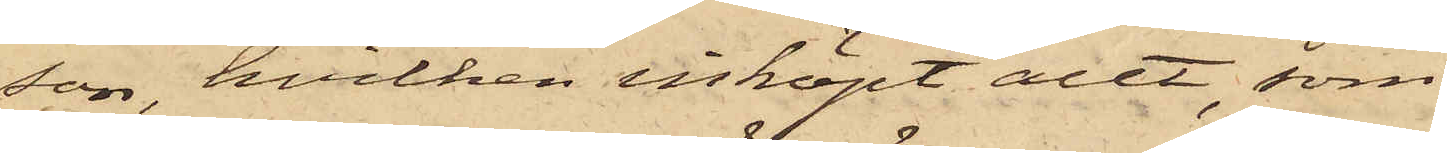son, hvilken inköpt allt, som
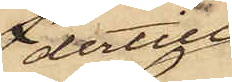dertill
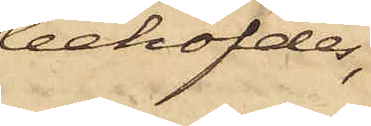behöfdes,
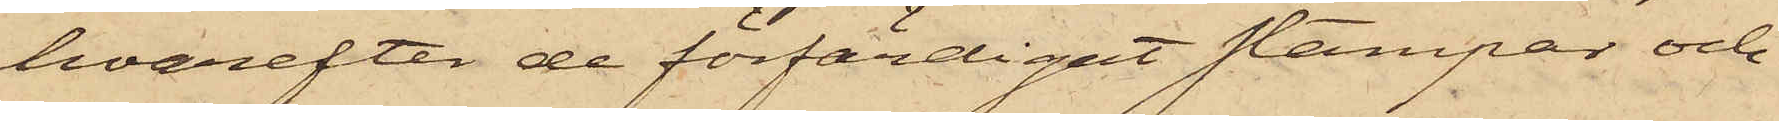hvarefter de förfärdigat stampar och
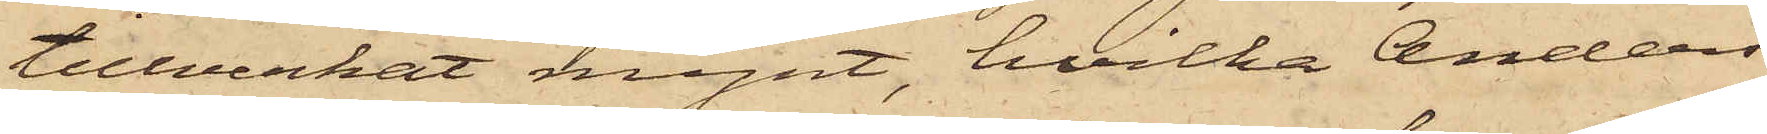tillverkat mynt, hvilka Anders
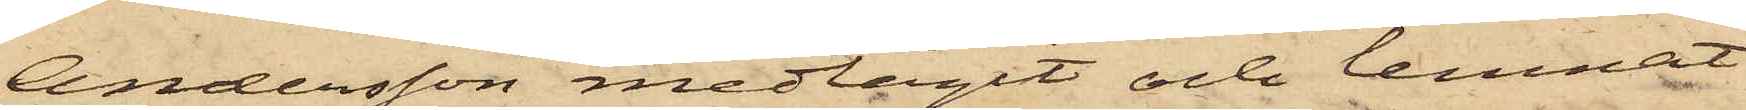Andersson medtagit och lemnat
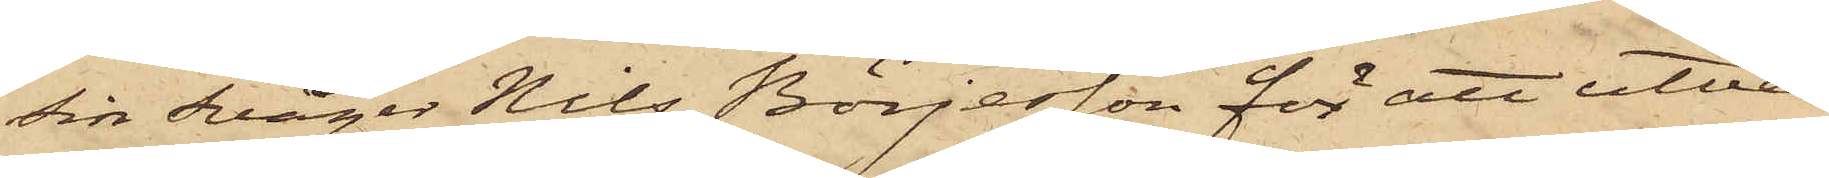Sin Svåger Nils Börjesson för att utvex¬
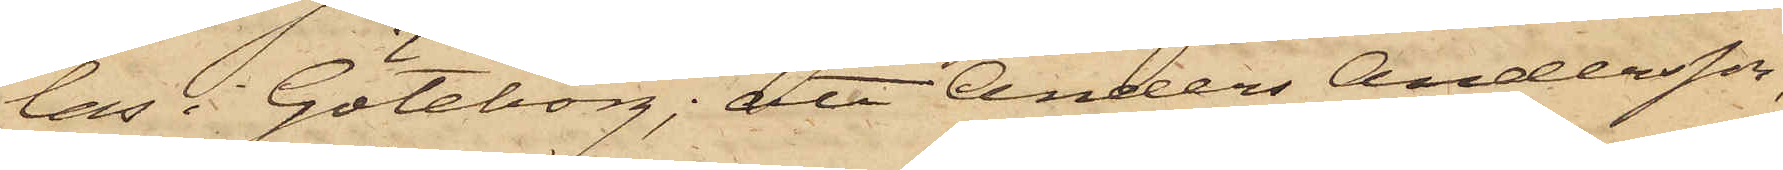las i Göteborg; att Anders Andersson,
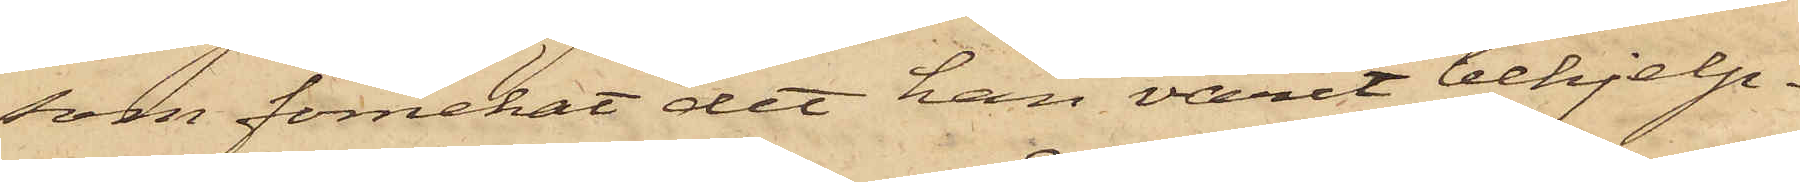som förnekat det han varit behjelp¬
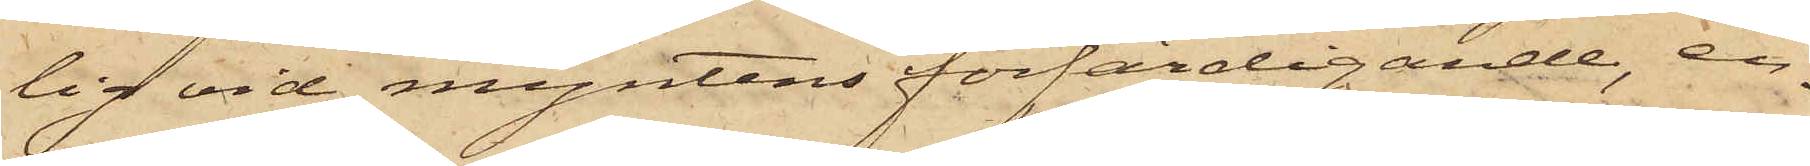lig vid myntens förfärdigande, en¬
